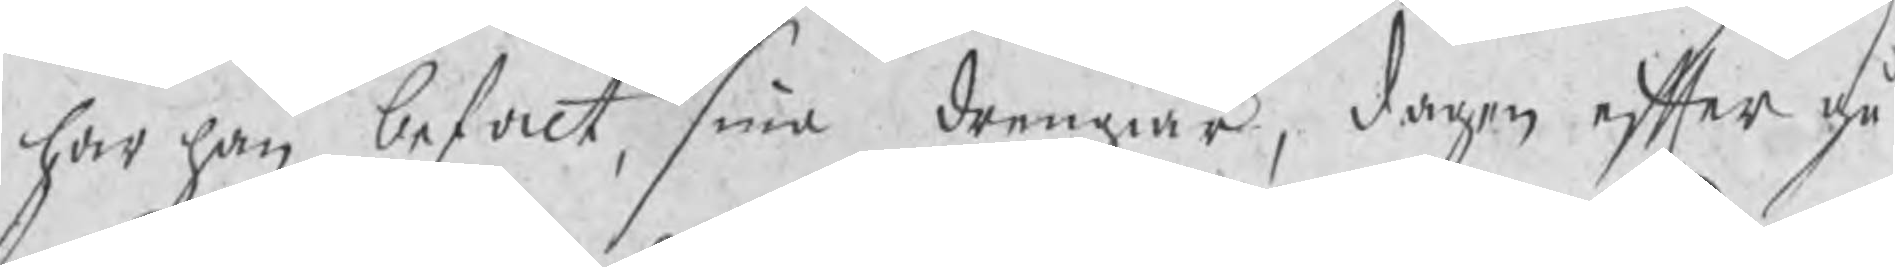har han befalt, sina drengiär, dagen efter gå
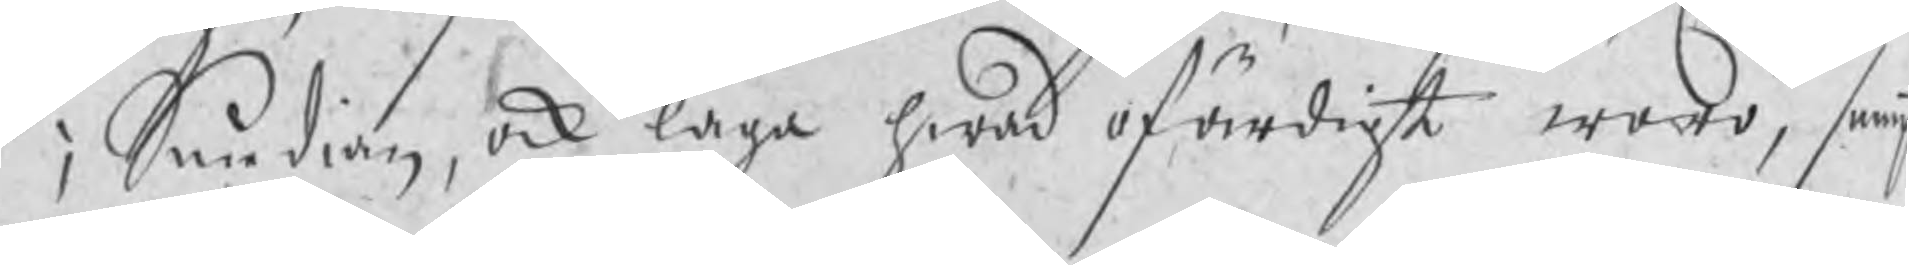i Smedian, ock laga hwad ofärdigt woro, sampt
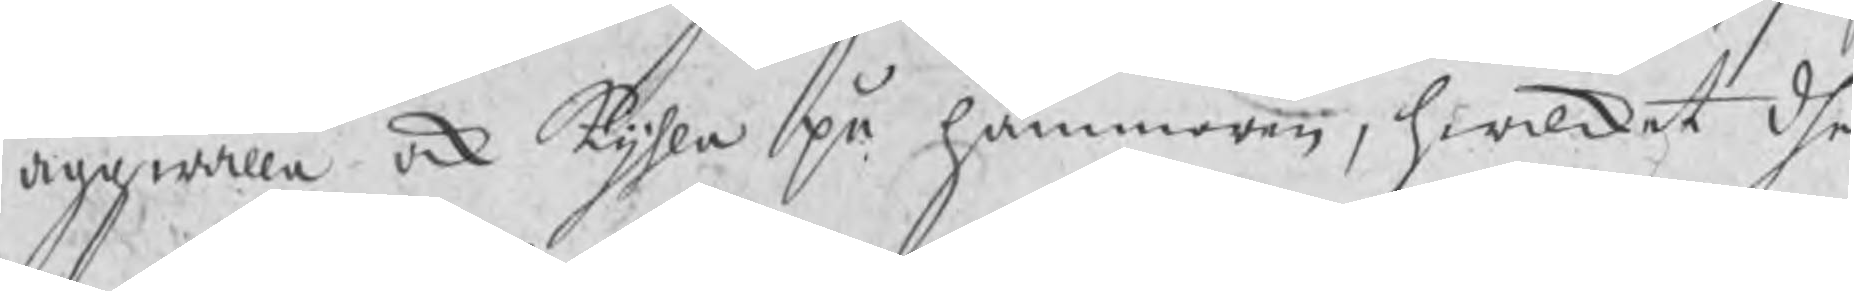äggwälla ock kijhla på hammaren, hwilket dhe
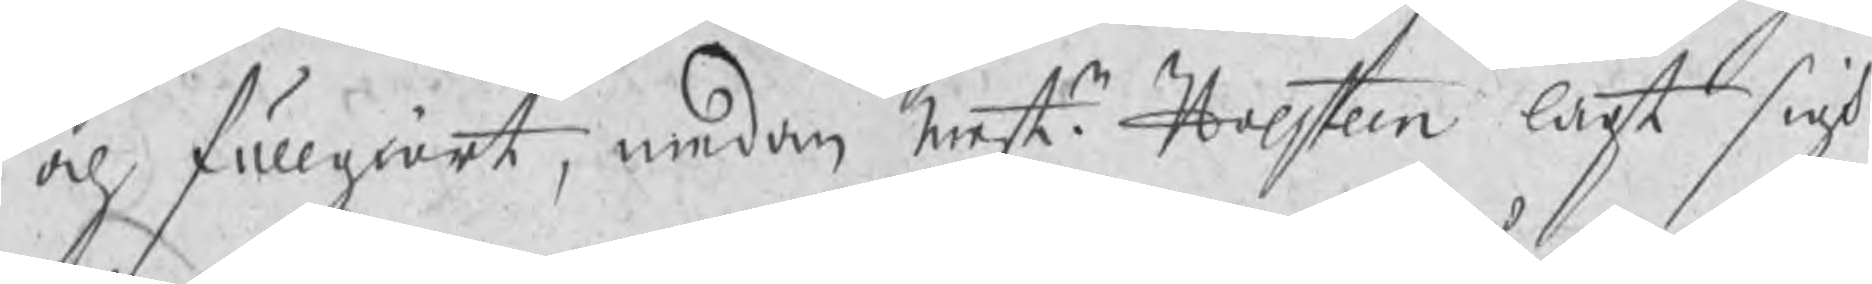och fullgiort, medan Mestr Holsteen lagt sigh
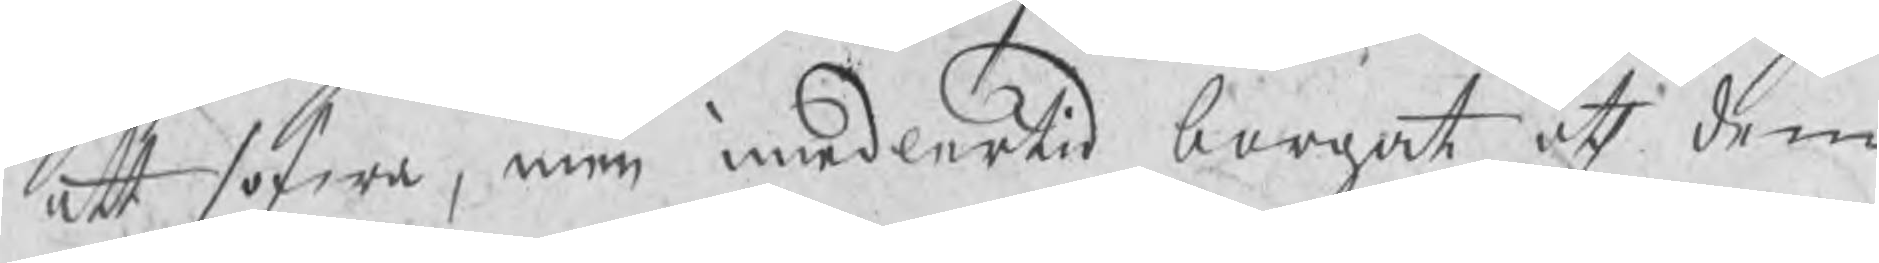att sofwa, men imedlertid borgat åth dem
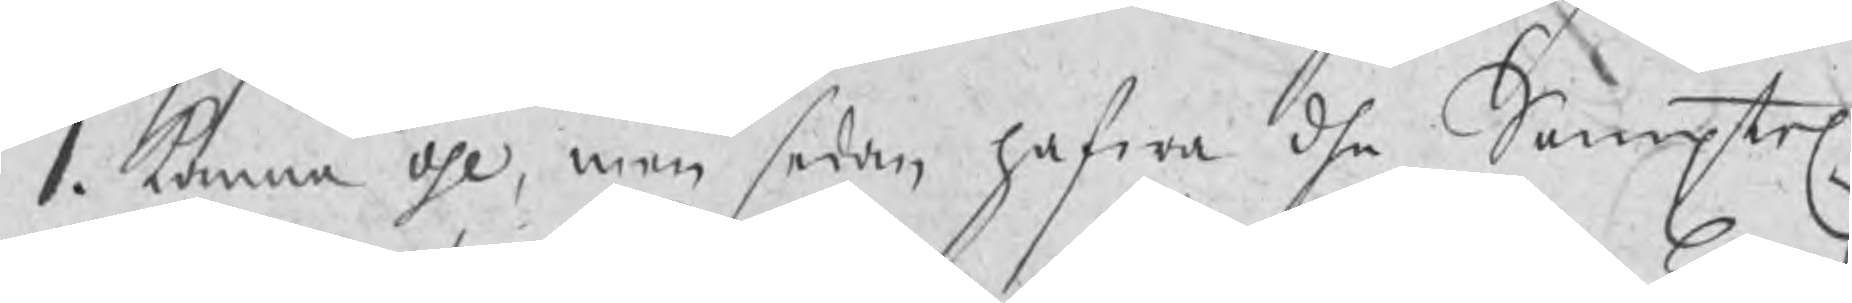1. kanna öhl, men sedan hafwa dhe Samptel.
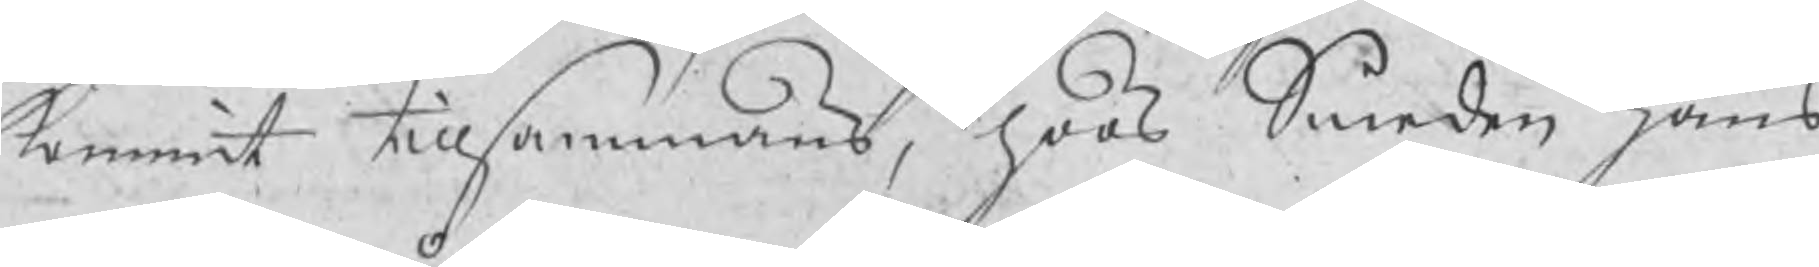kommit tillsammans, hoos Smeden Hans
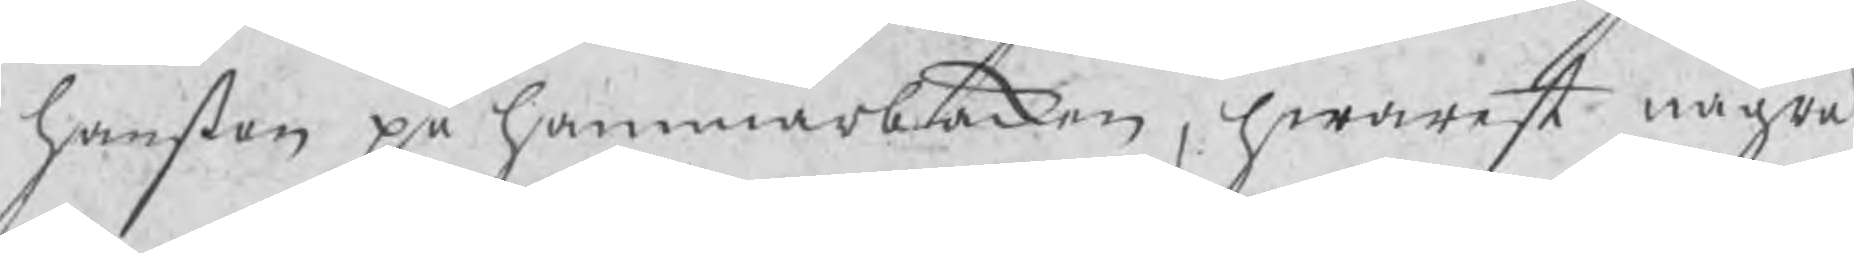Hanßon på hammarbacken, hwarest några
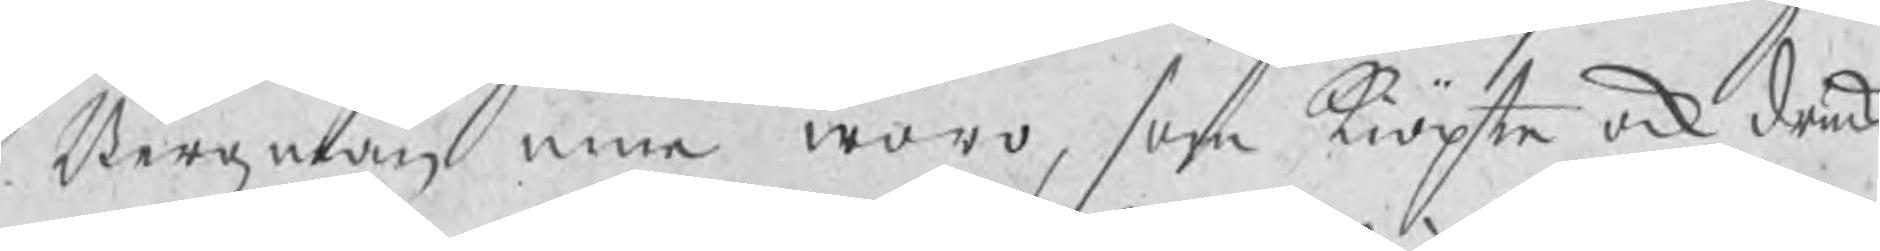Bergzmän inne woro, som kiöpte ock drucke
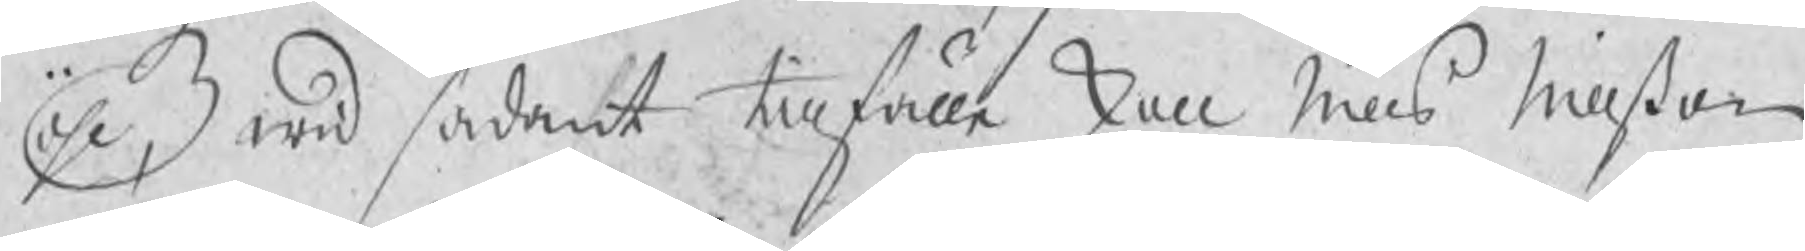öhl, wid sådant tillfälle skall Nills Nillßon
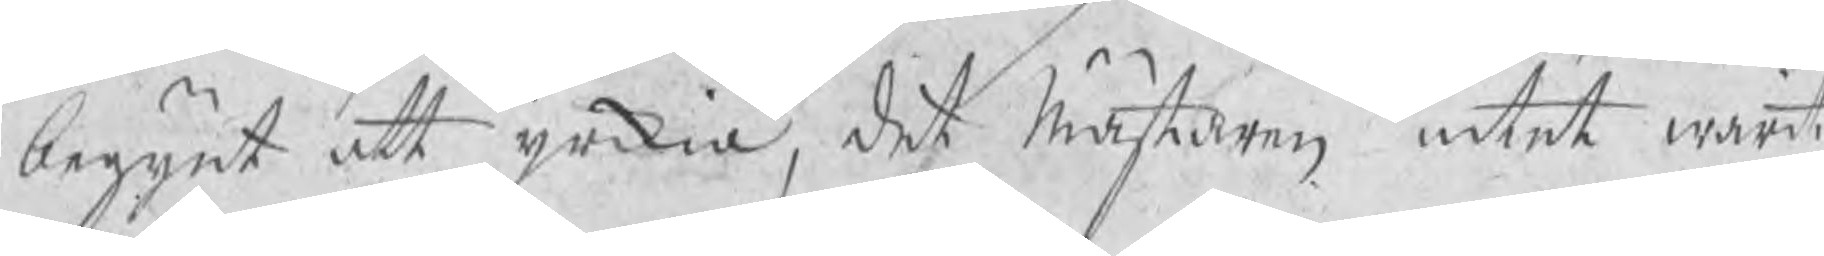begynt att yrkia, det Mästaren intet warit
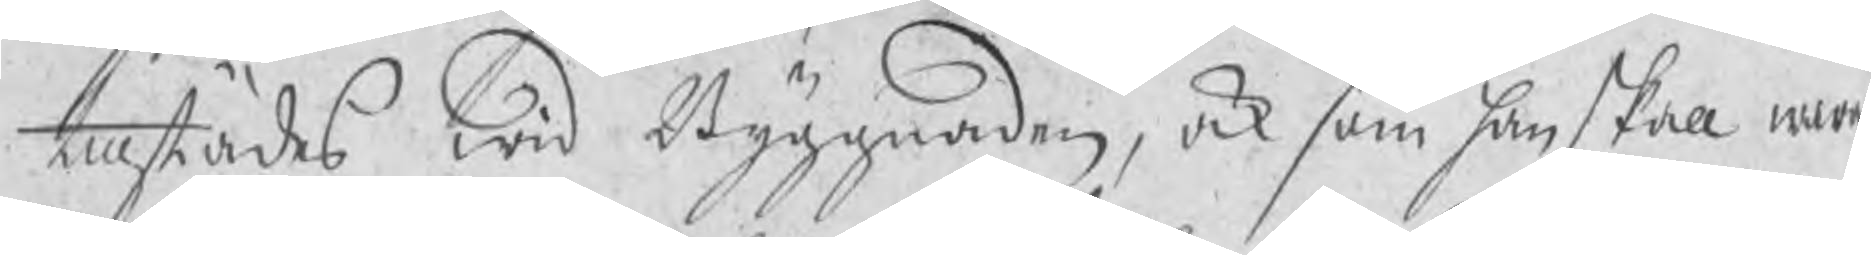tillstädes wid Byggnaden, ock som han skall wara
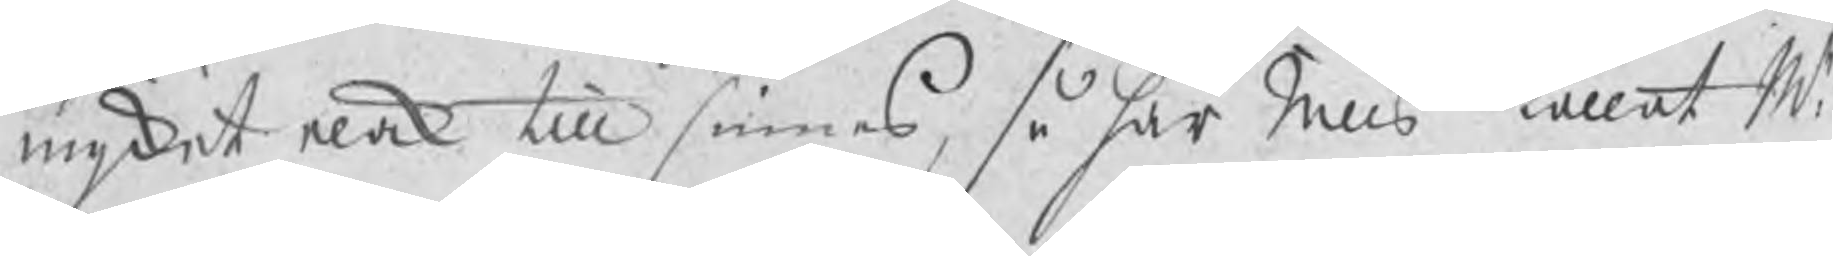myket elak till sinnes, så har Nills kallat Mr
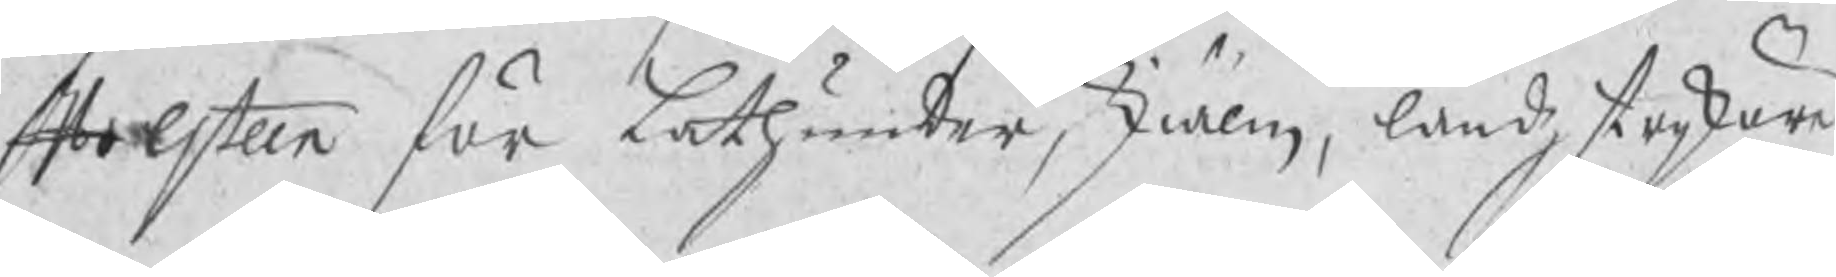Holsten för lathunder, skiälm, landzstrykäre
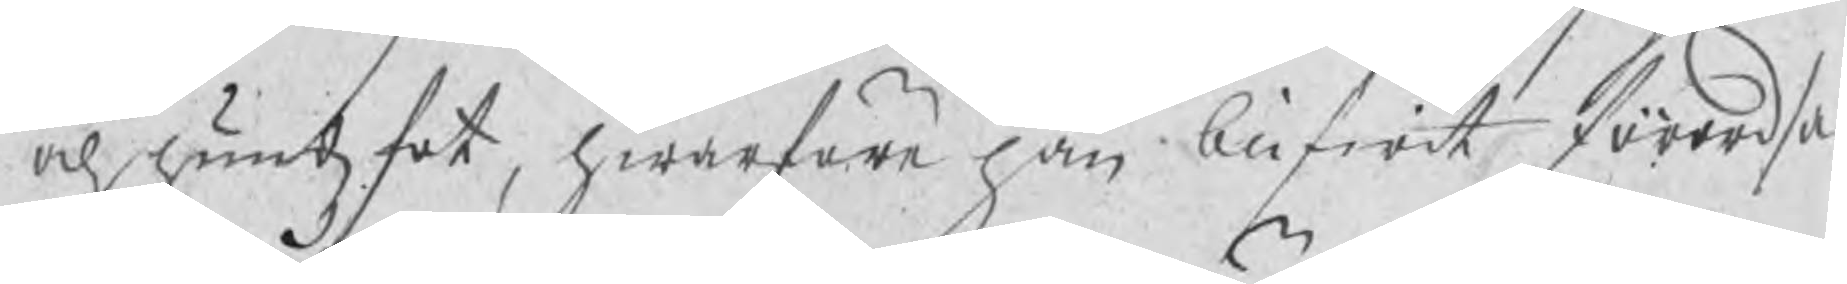och hundzfot, hwarföre han blifwit förordsa¬
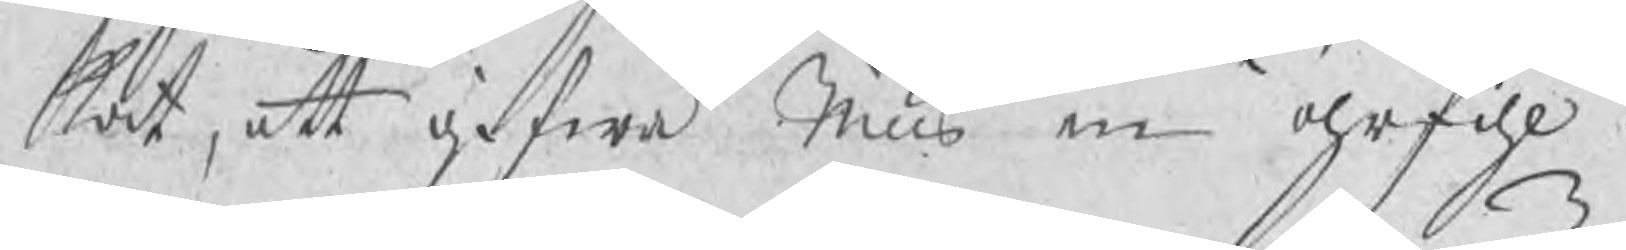kat, att gifwa Nills en öhrfihl.
